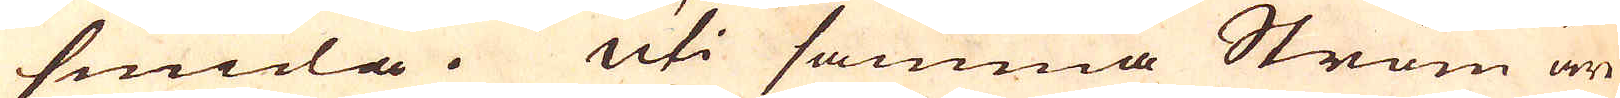smida. Uti samma Ström är
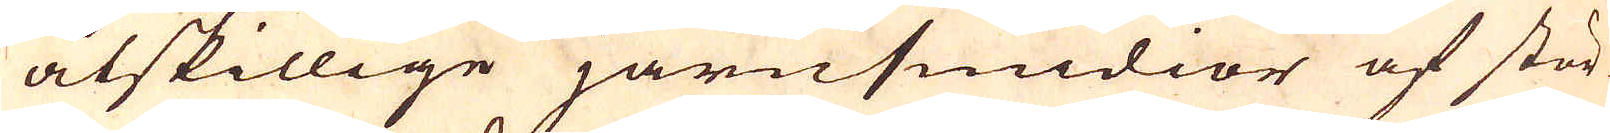åtskillige järnsmidior af stör-
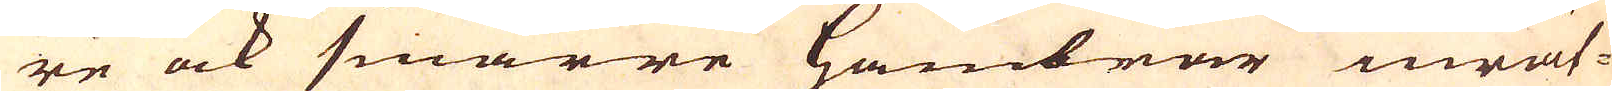re ock smärre hambrar inrät-
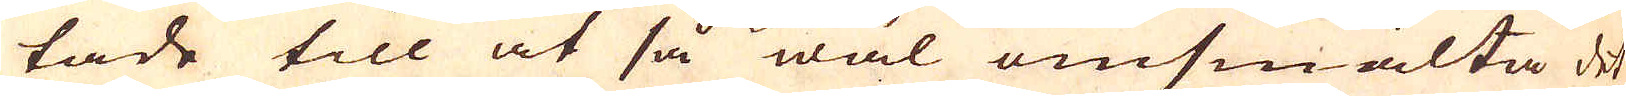tade till at så wäl omsmälta det
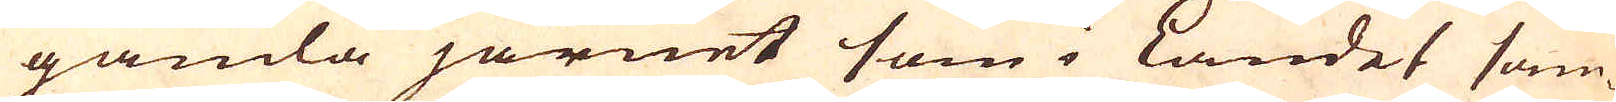gamla järnet som i Landet sam-
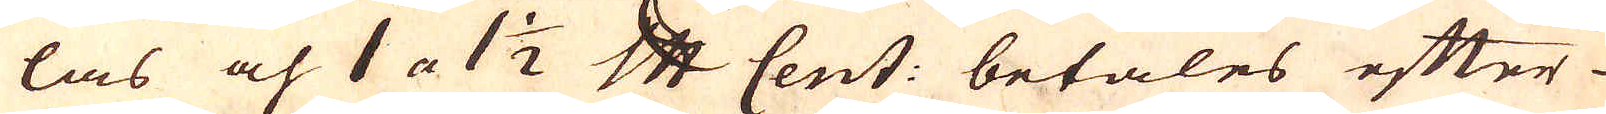las och 1 a 1 1/2 skålpund Cent: betales efter
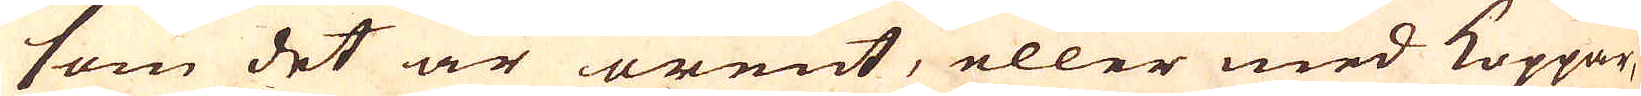som det är orent, eller med Koppar,
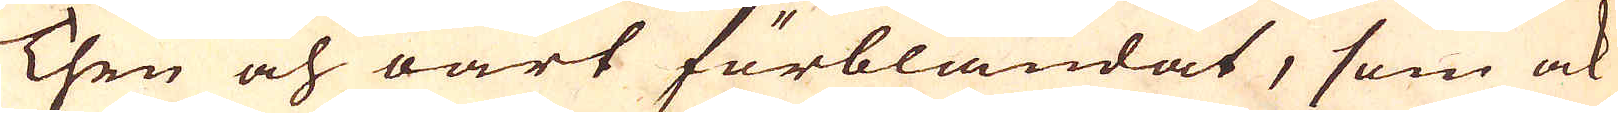Then och oart förblandat, som ock
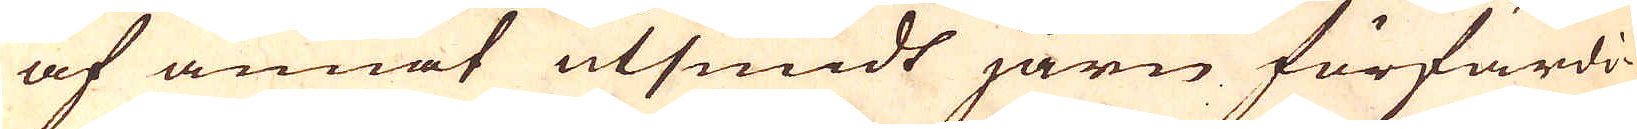af annat utsmidt järn förfärdi-
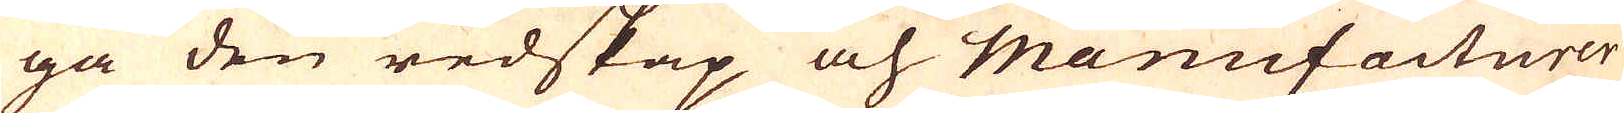ga den redskap och Manufacturer
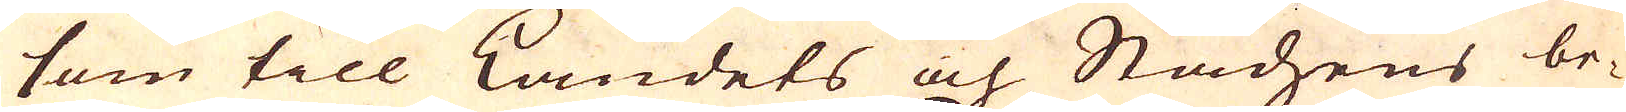som till Landets och Stadsens be-
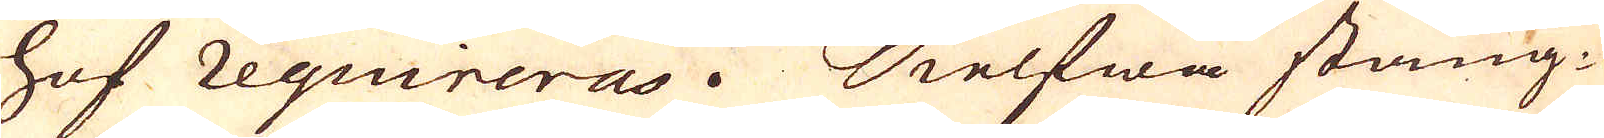hof requireras. Sielfwa stång-
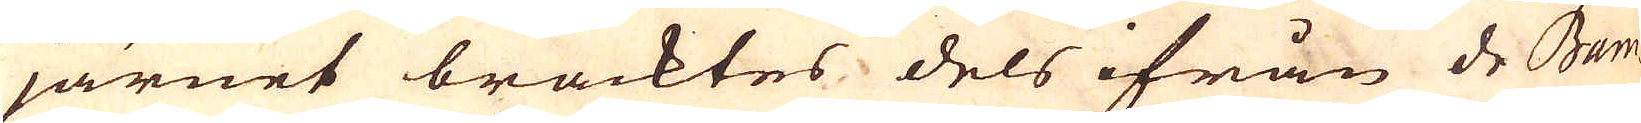järnet bracktes, dels ifrån de Bam-
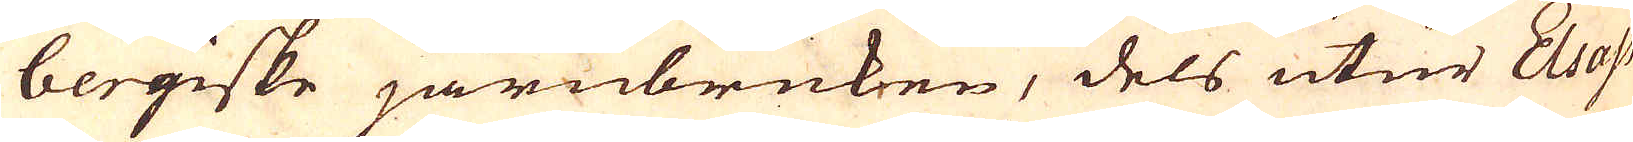bergiske järnbruken, dels utur Elsass
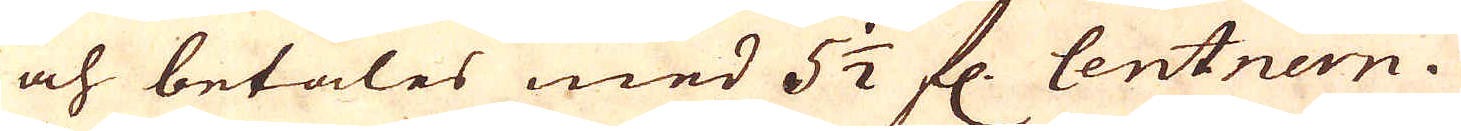och betales med 5 1/2 fl. Centnern.
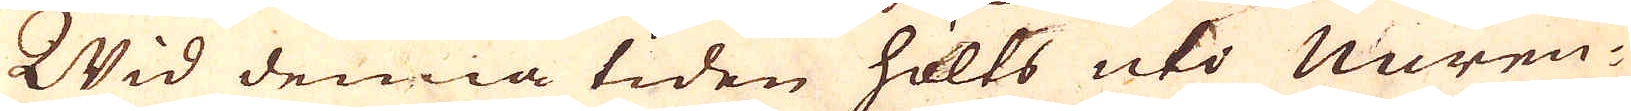Wid denna tiden hölts uti Nüren-
